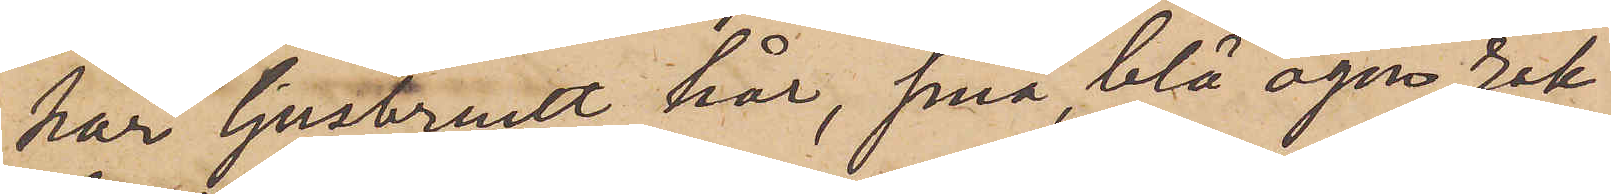har ljusbrunt hår, små, blå ögon, rak
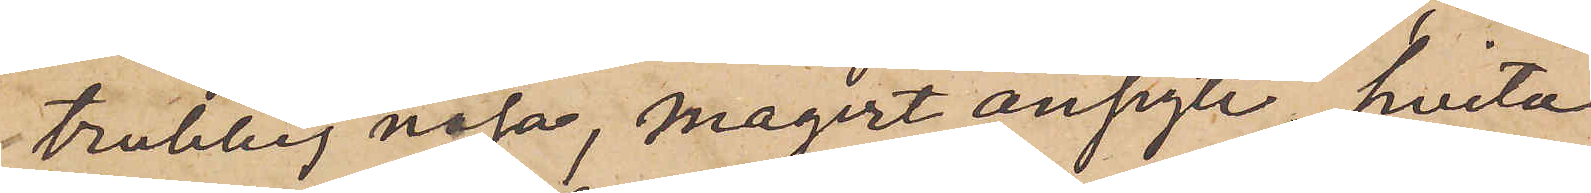trubbig näsa, magert ansigte, hvita
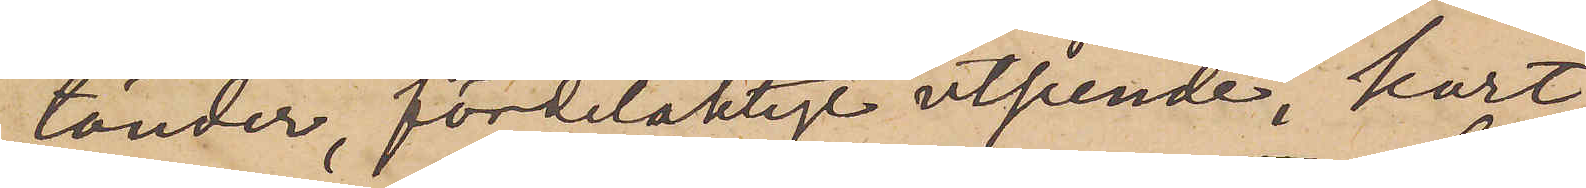tänder, fördelaktigt utseende, kort
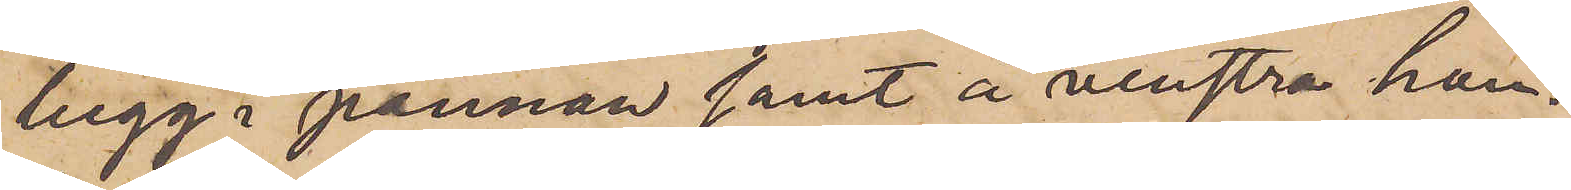tugg i pannan samt å venstra han¬
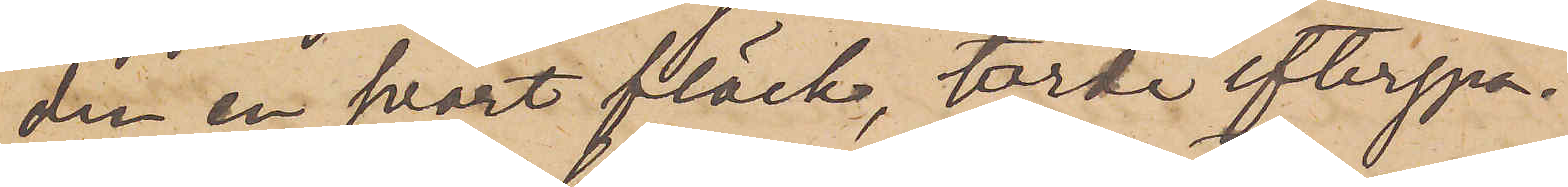den en svart fläsk, torde efterspa¬
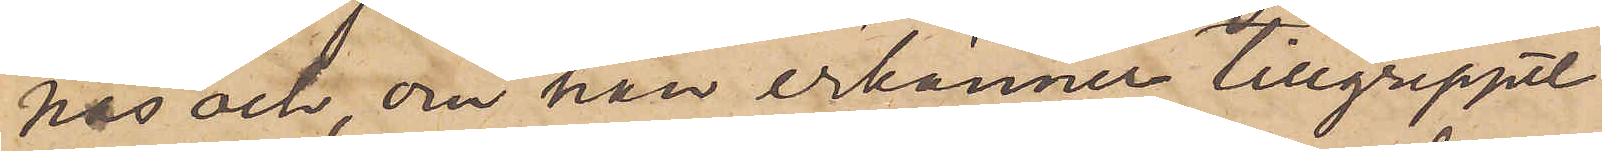nas och, om han erkänner tillgreppet
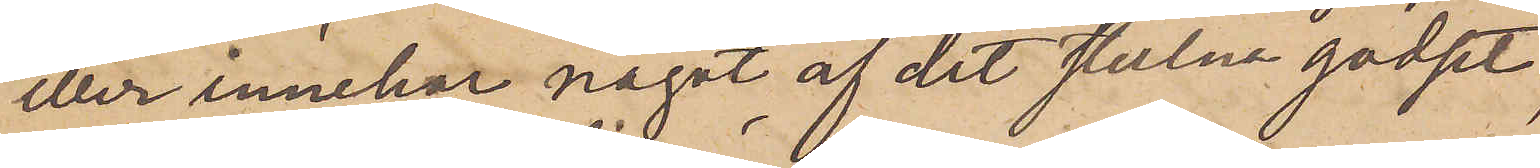eller innehar något af det stulna godset,
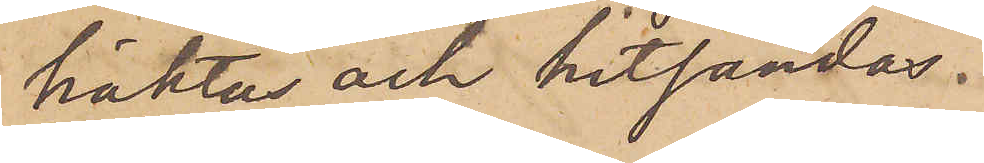häktas och hitsändas.
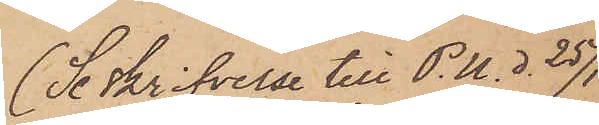(Se skrifvelse till P. U. d. 25/1
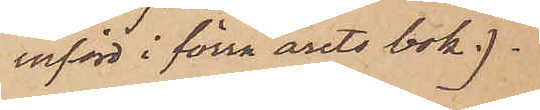införd i förra årets bok.).
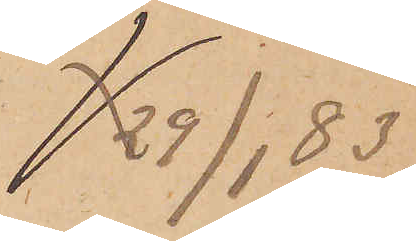29/1 83.
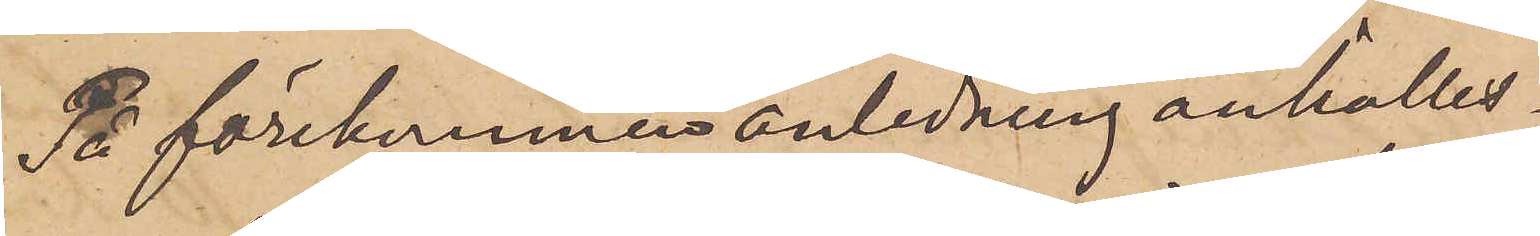På förekommen anledning anhålles
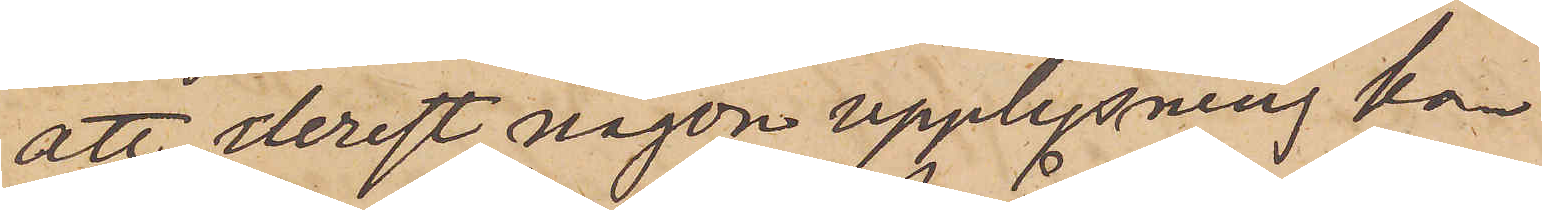att derest någon upplysning kan
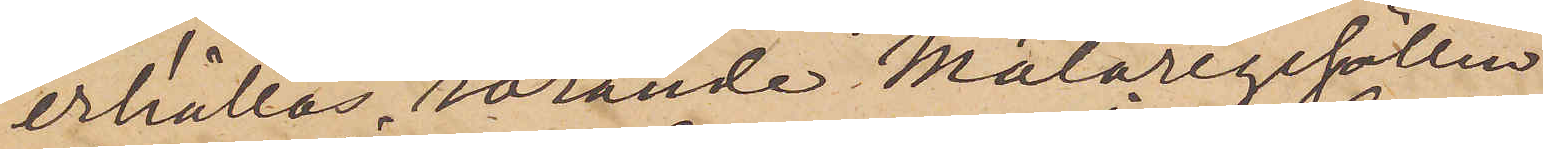erhållas rörande Målaregesällen
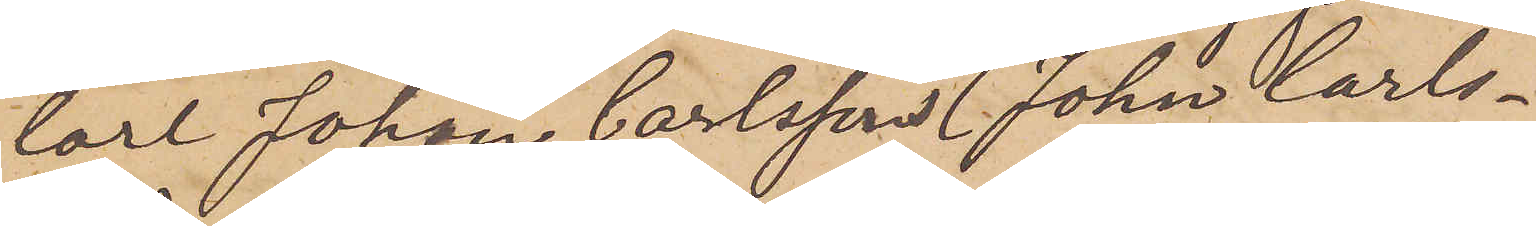Carl Johan Carlssons (John Carls¬
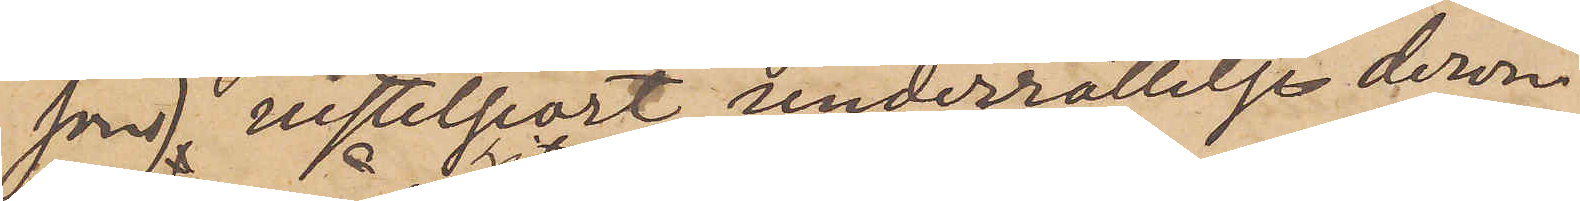sons) vistelseort, underrättelse derom
